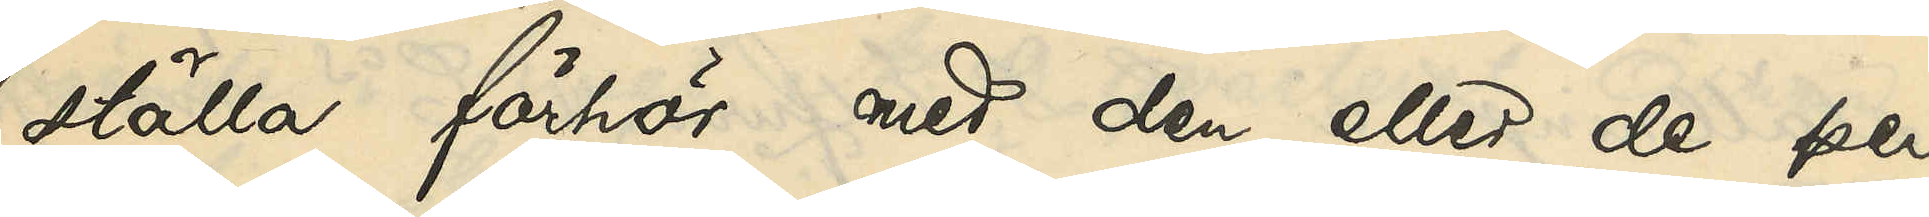ställa förhör med den eller de per¬
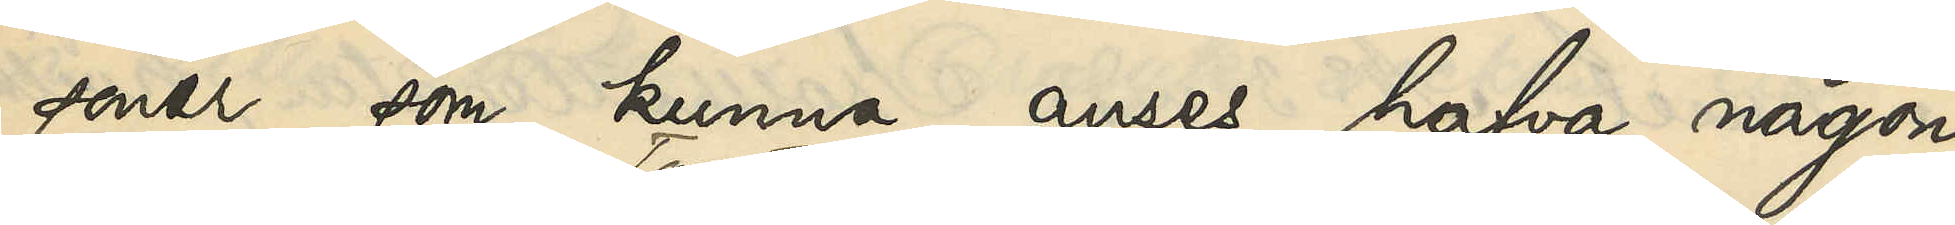soner, som kunna anses hafva någon
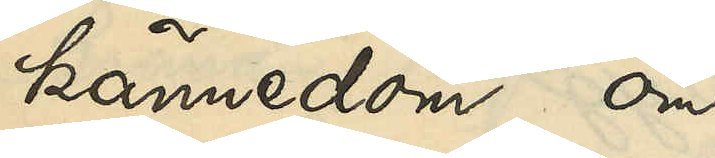kännedom om
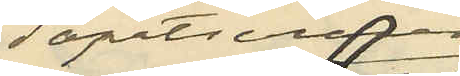Tapetseraren
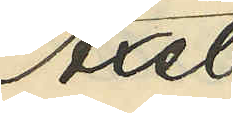Axel
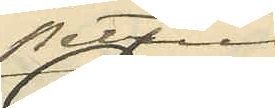Petter
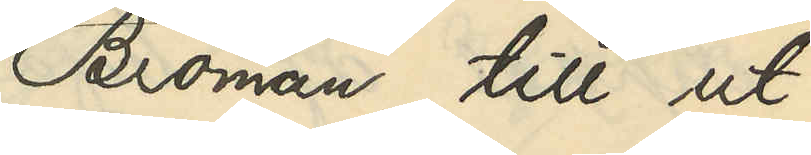Broman, till ut¬
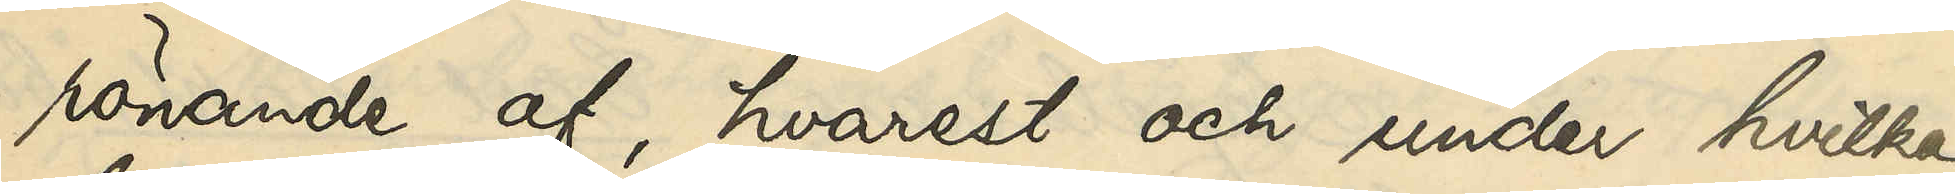rönande af, hvarest och under hvilka
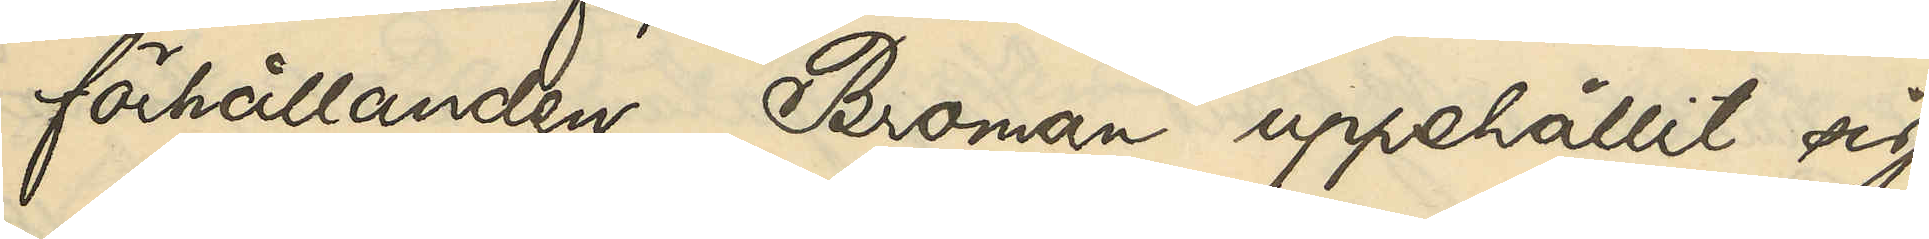förhållanden Broman uppehållit sig
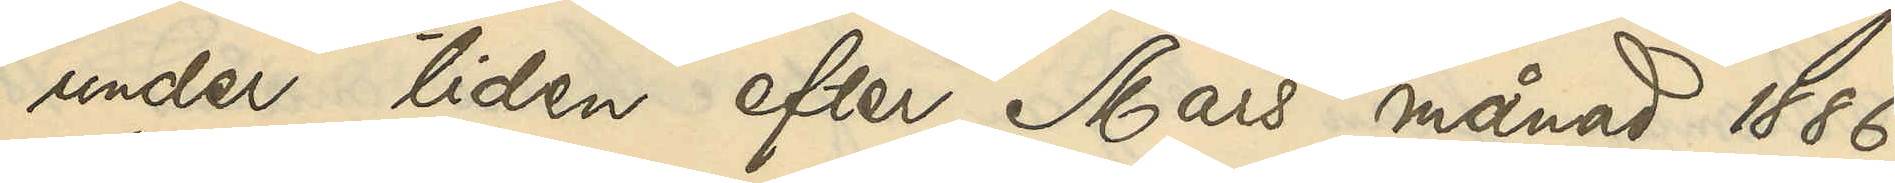under tiden efter Mars månad 1886
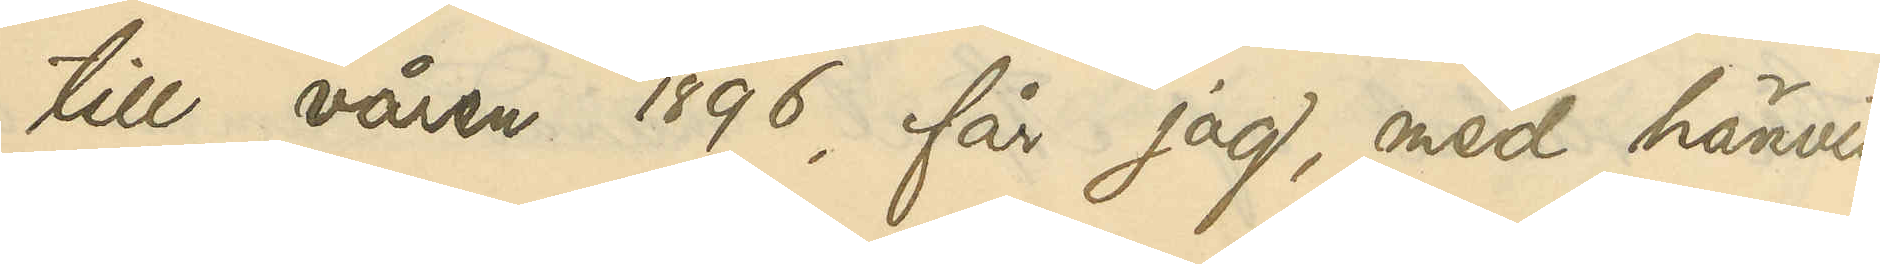till våren 1896, får jag, med hänvis¬
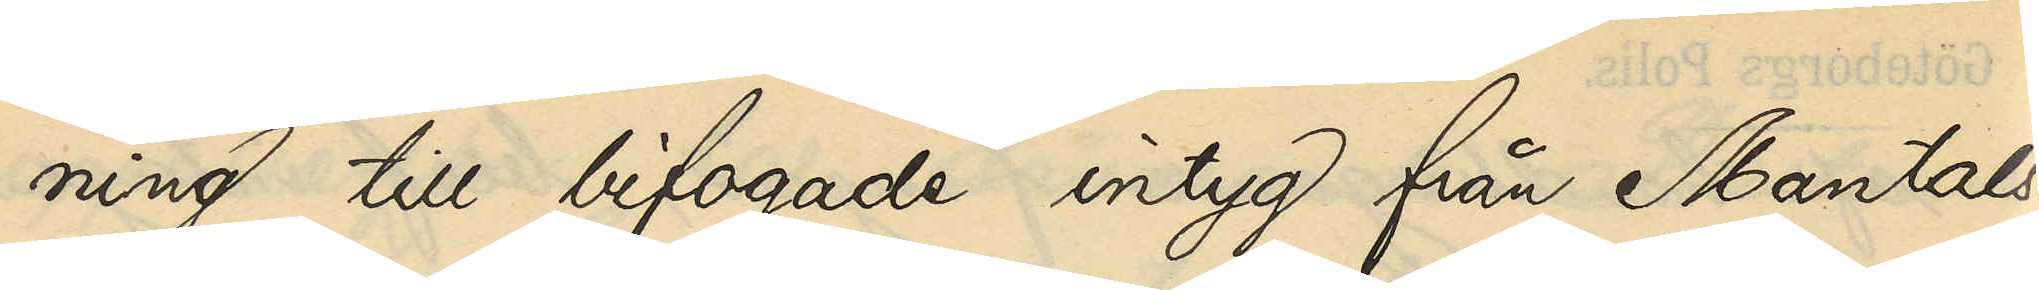ning till bifogade intyg från Mantals¬
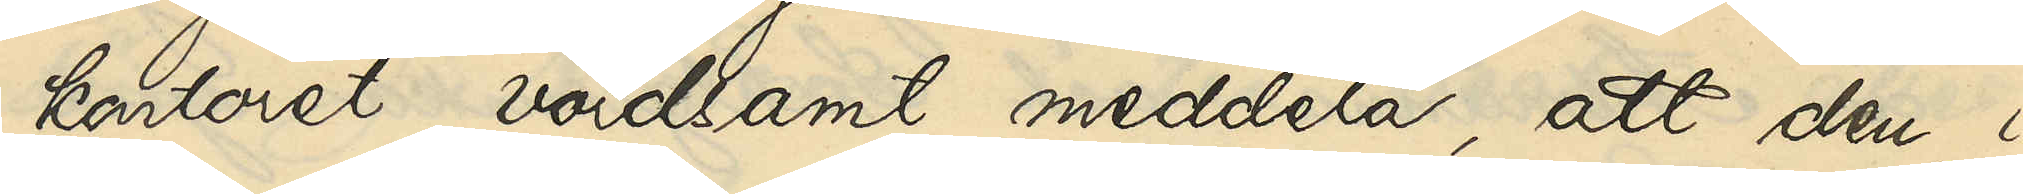kontoret, vördsamt meddela, att den i
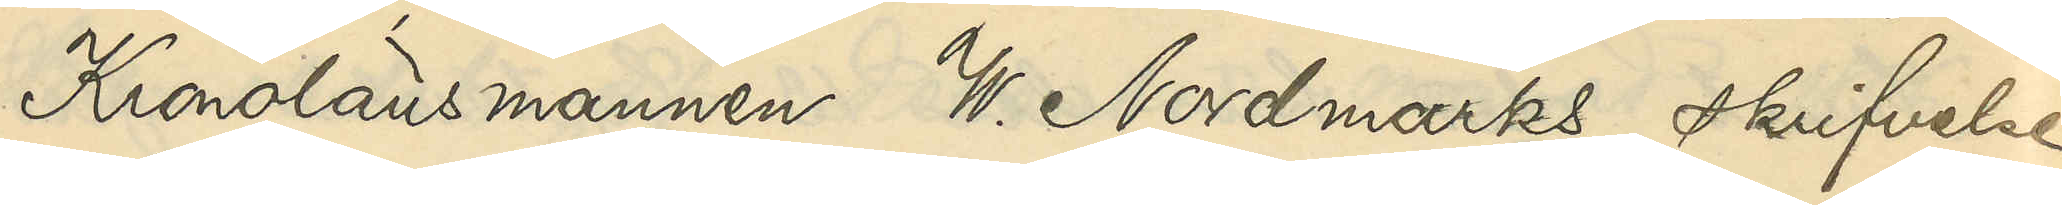Kronolänsmannen W. Nordmarks skrifvelse
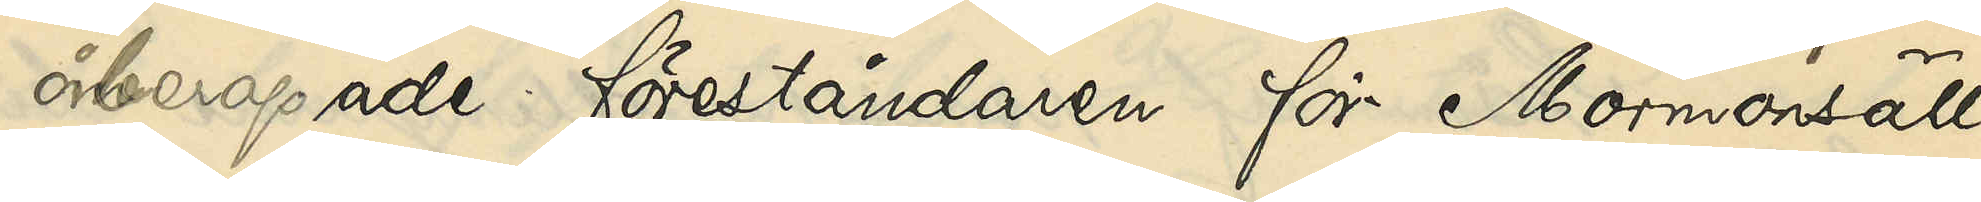åberopade föreståndaren för Mormonsäll¬
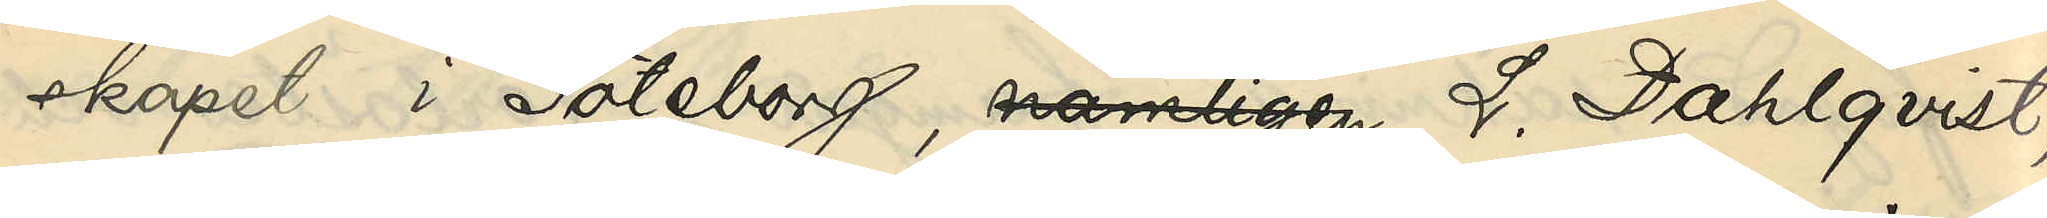skapet i Göteborg, nämligen L. Dahlqvist,
